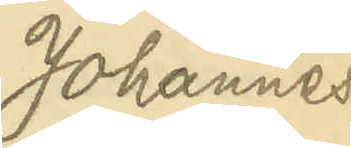Johannes 
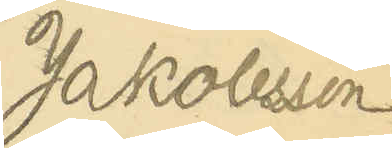Jakobsson
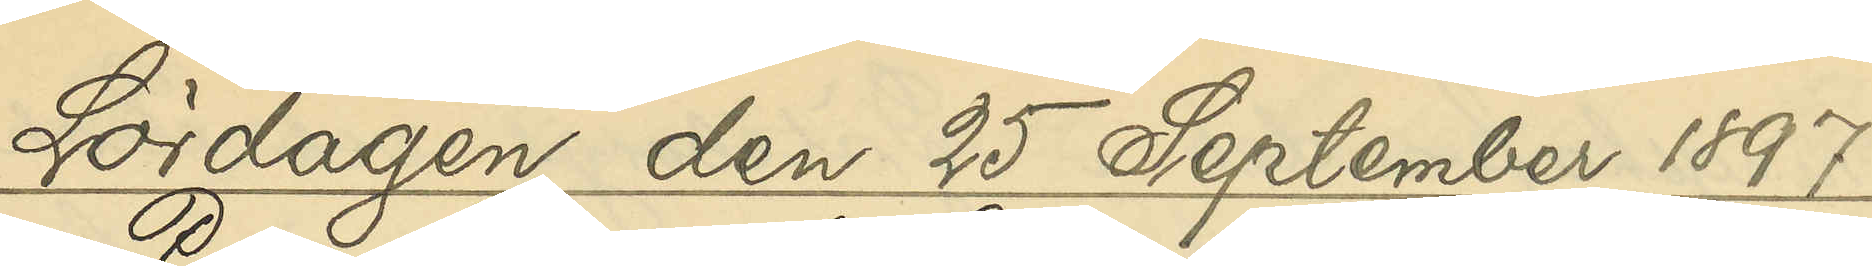Lördagen den 25 September 1897
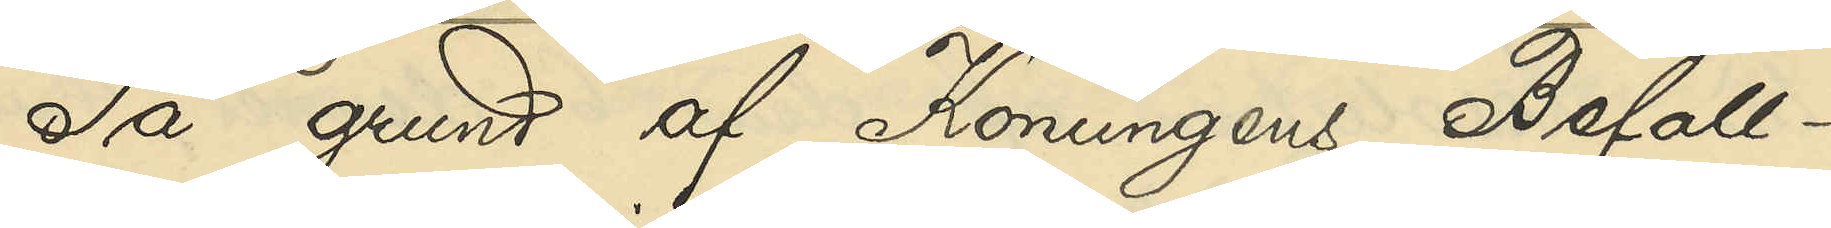På grund af Konungens Befall¬
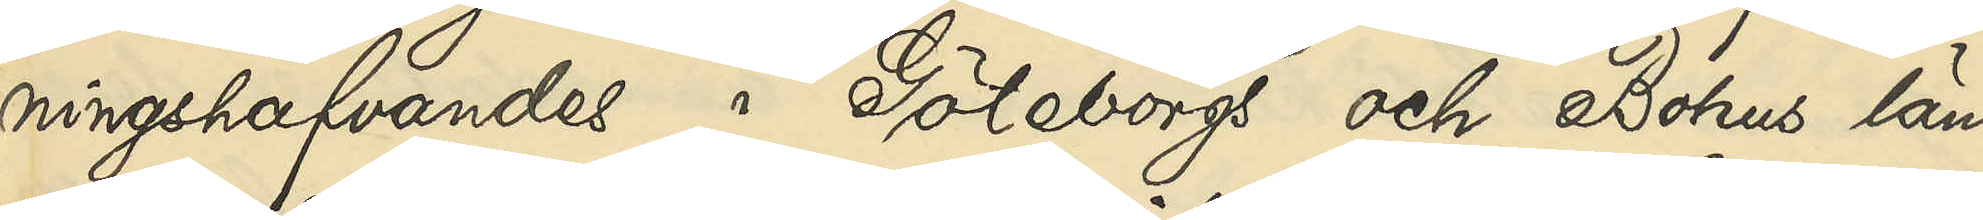ningshafvandes i Göteborgs och Bohus län
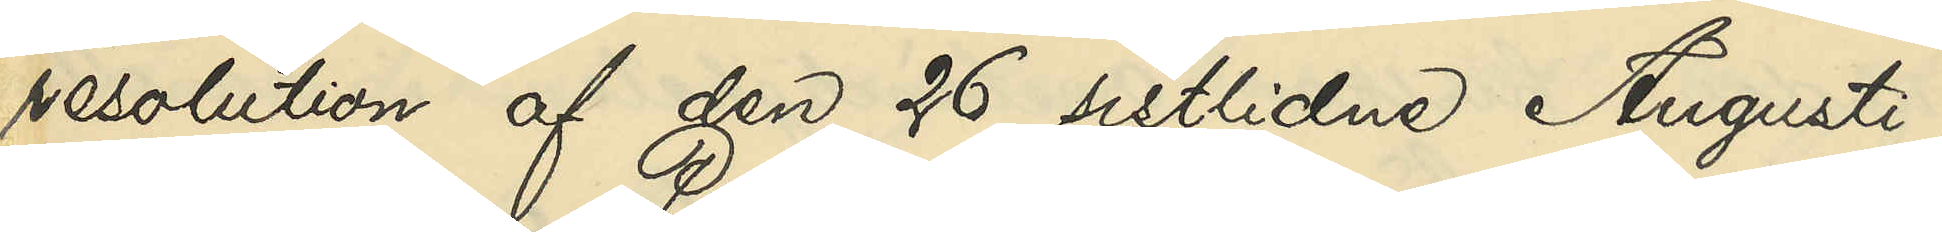resolution af den 26 sistlidne Augusti,
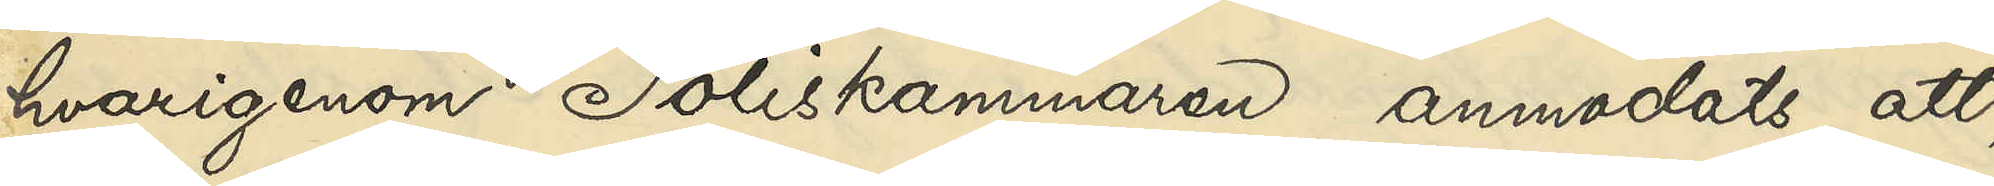hvarigenom Poliskammaren anmodats att,
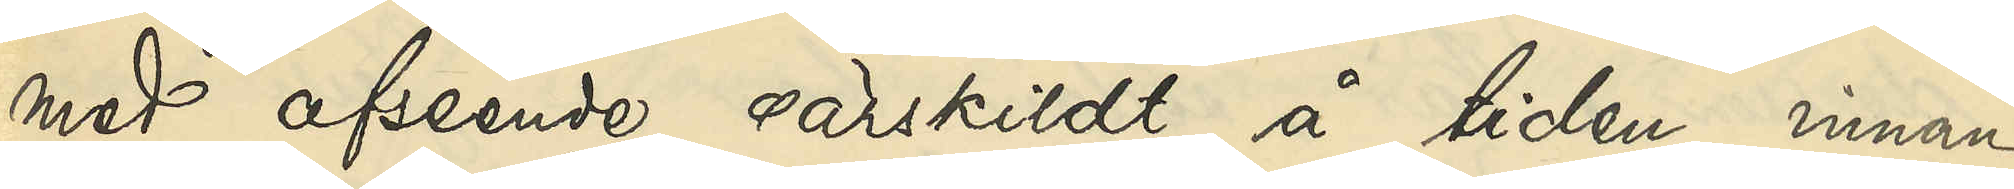med afseende särskildt å tiden, innan
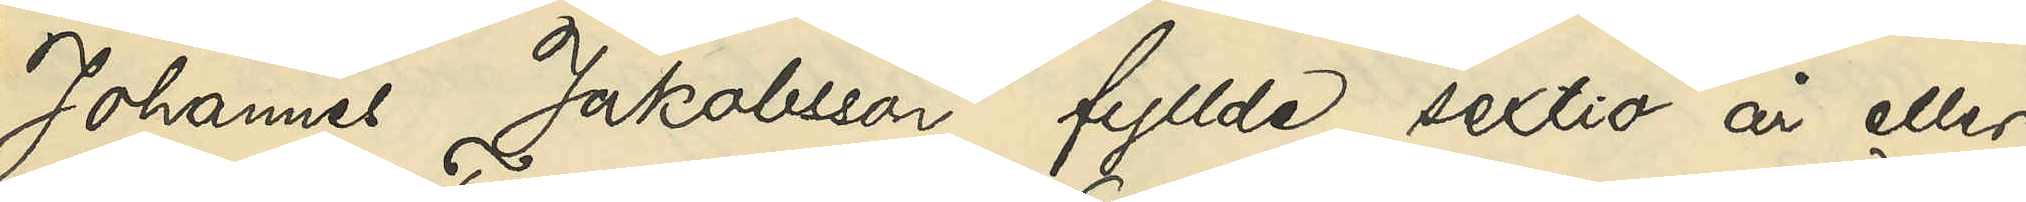Johannes Jakobsson fyllde sextio år, eller
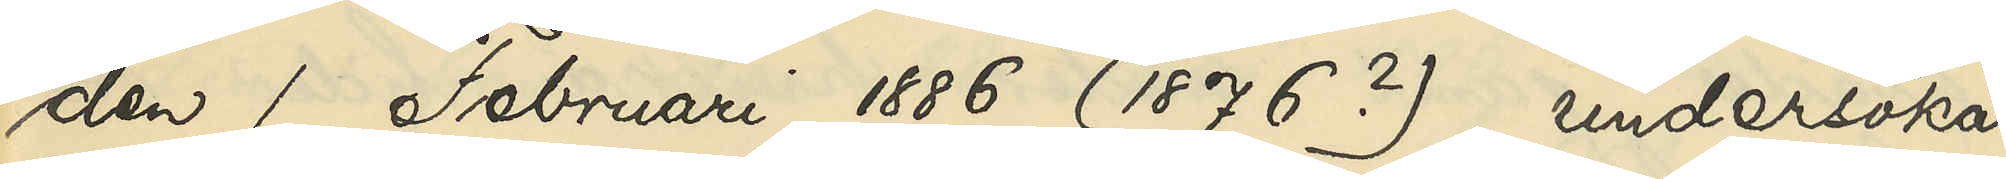den 1 Februari 1886 (1876?), undersöka,
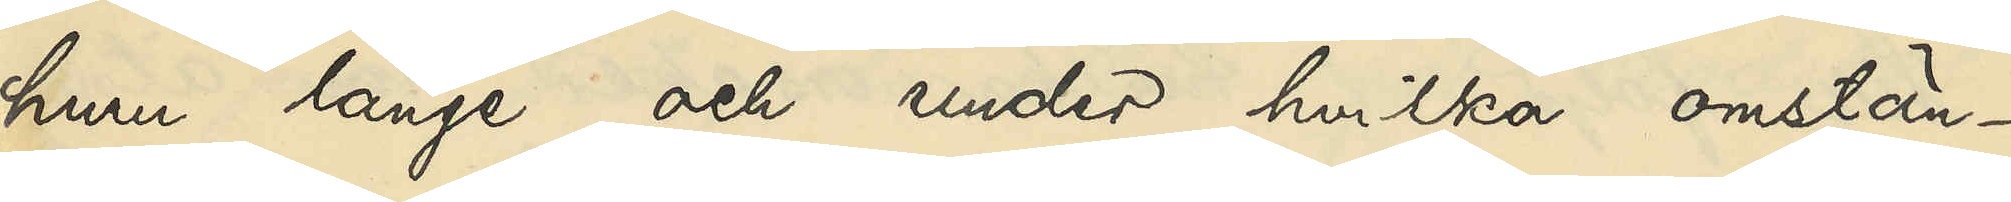huru länge och under hvilka omstän¬
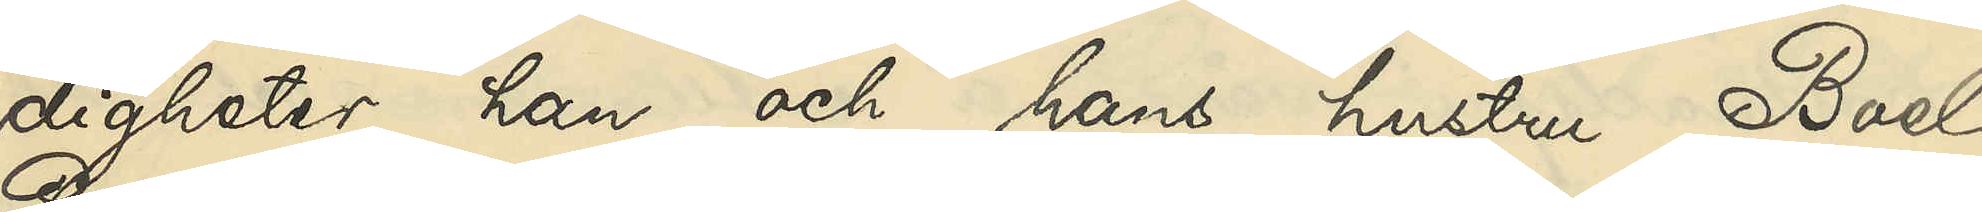digheter han och hans hustru Boel
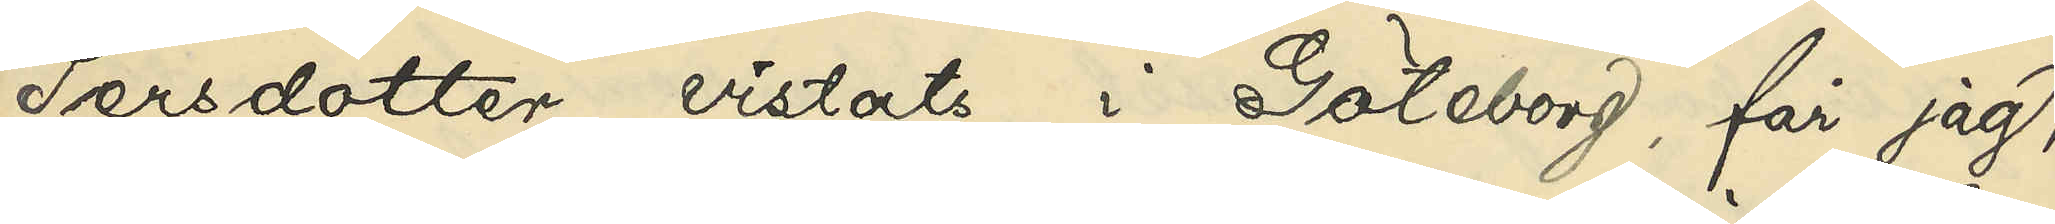Persdotter vistats i Göteborg, får jag,
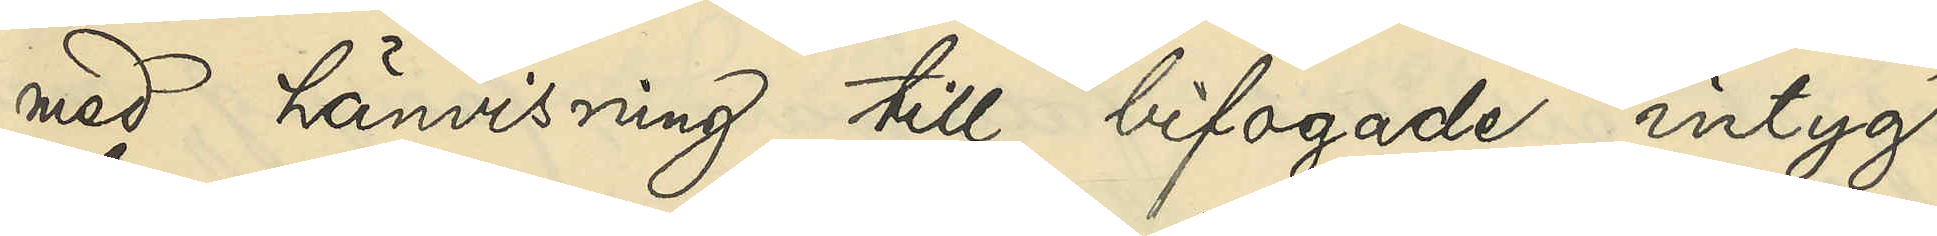med hänvisning till bifogade intyg
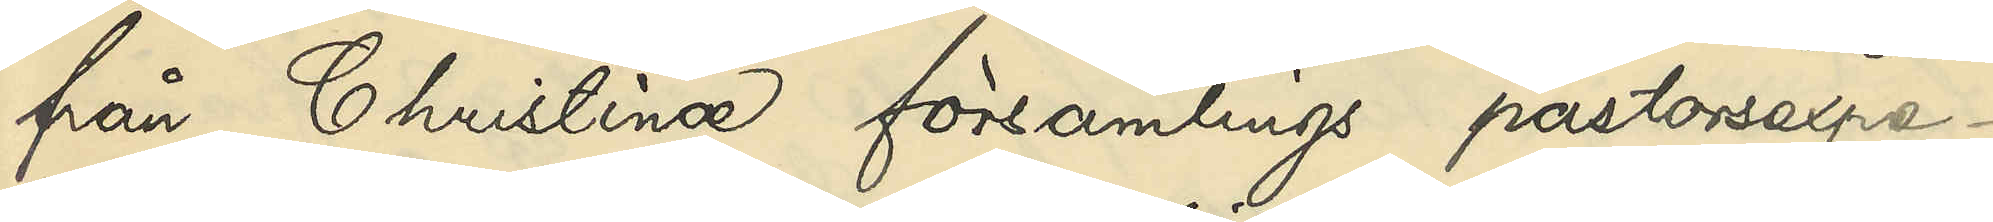från Christinæ församlings pastorsexpe¬
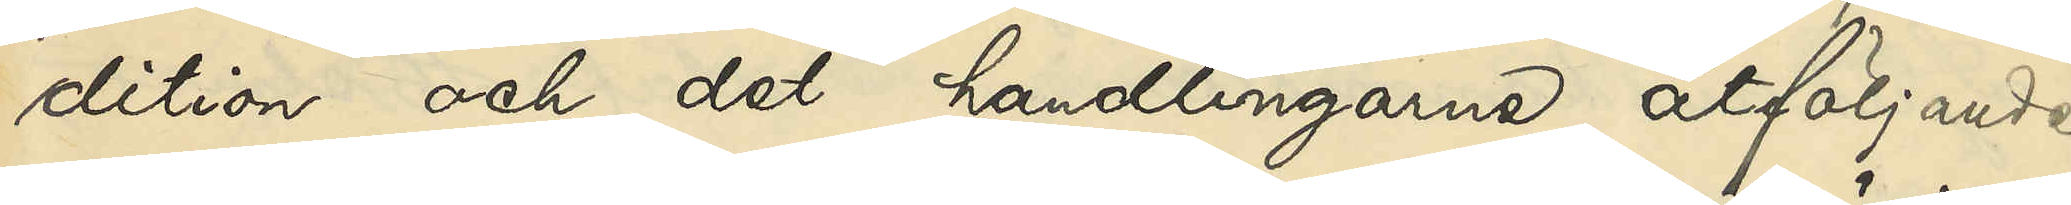dition och det handlingarne åtföljande
